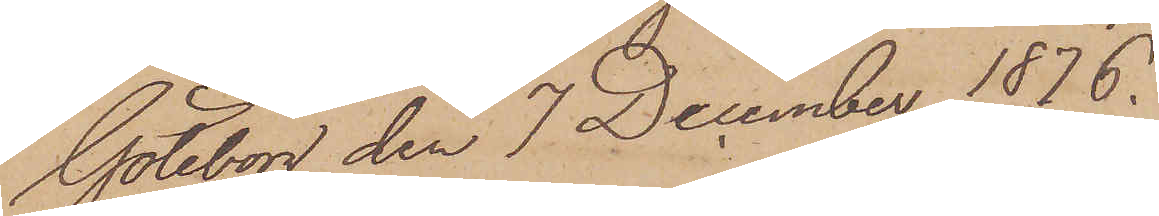Göteborg den 7 December 1876.
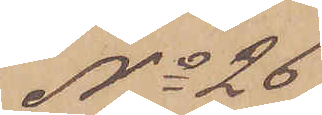No 26
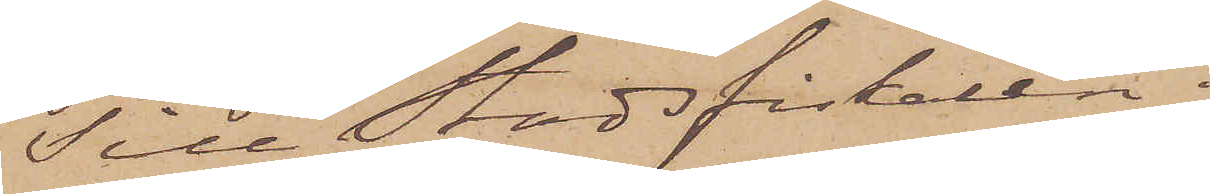Till Stadsfiskalen i
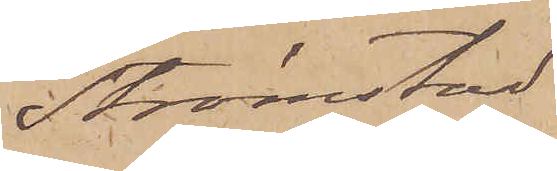Strömstad
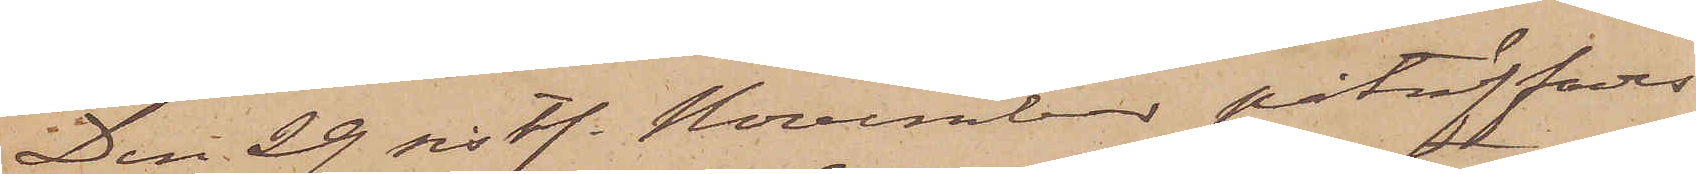Den 29 sistl. November påträffades
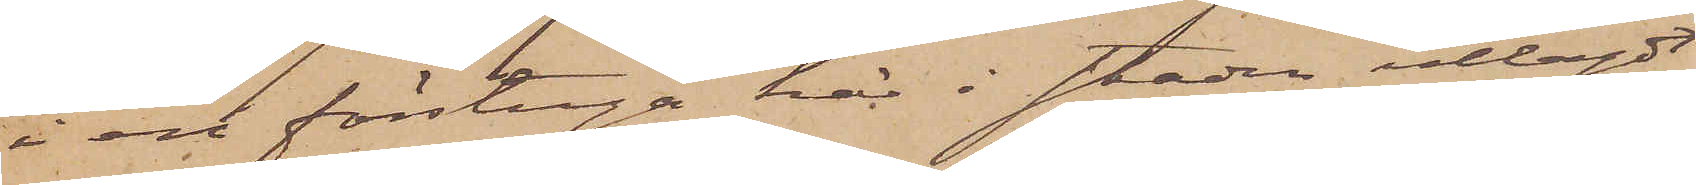i en förstuga här i staden utlagdt
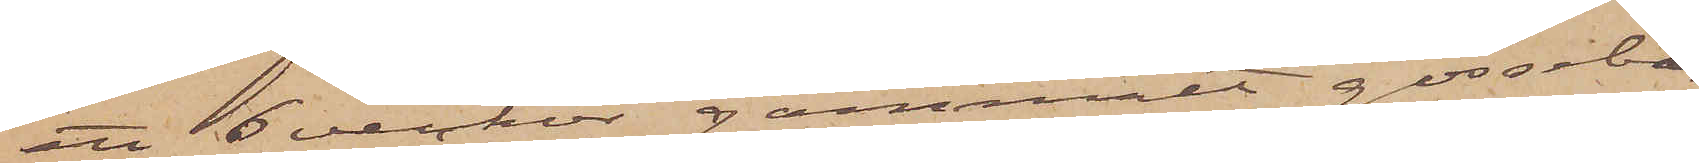ett 6 veckor gammalt gosseban
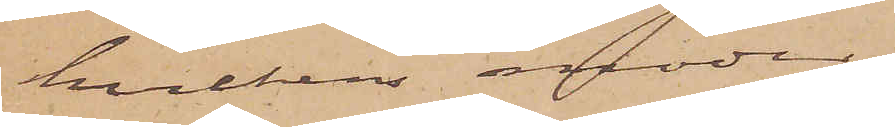hvilkens moder,
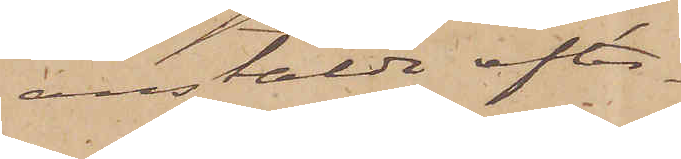anstälda efter¬
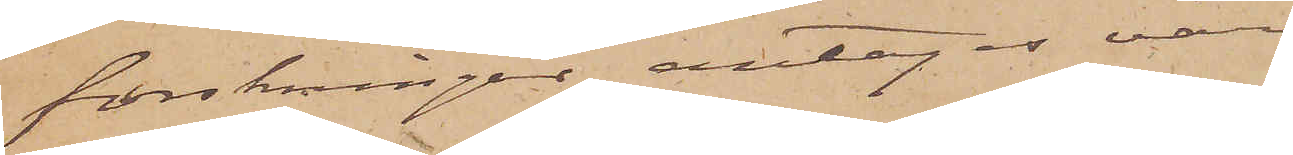forskningar, antages vara
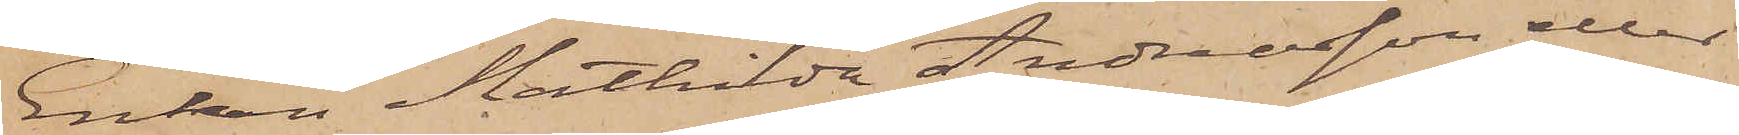Enkan Mathilda Andreasson eller
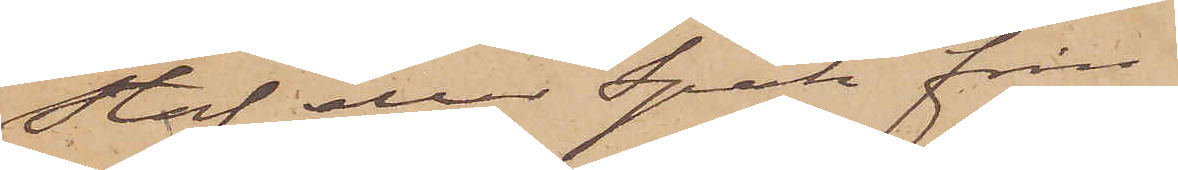Staf eller Spak från
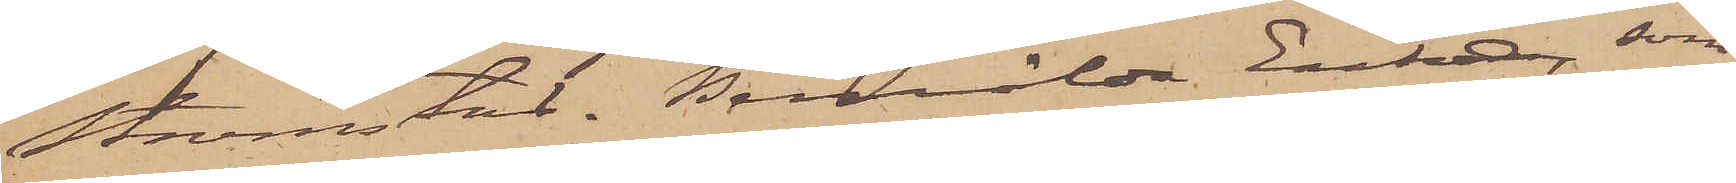Strömstad. Bemälda Enka, som
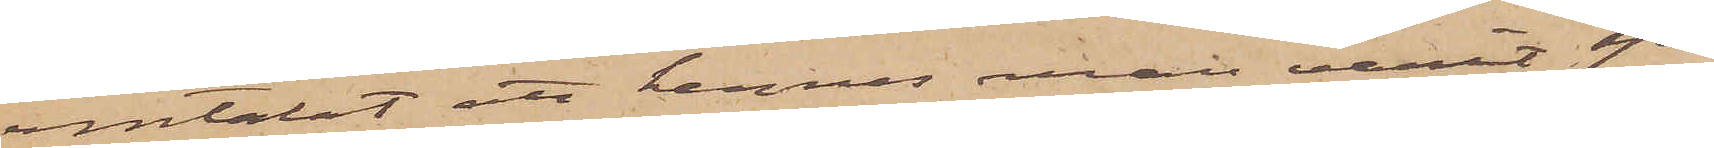omtalat att hennes man varit sjö¬
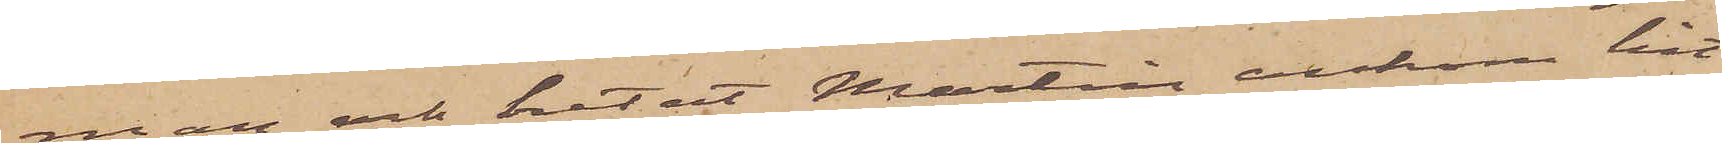man och hetat Martin, ankom hit
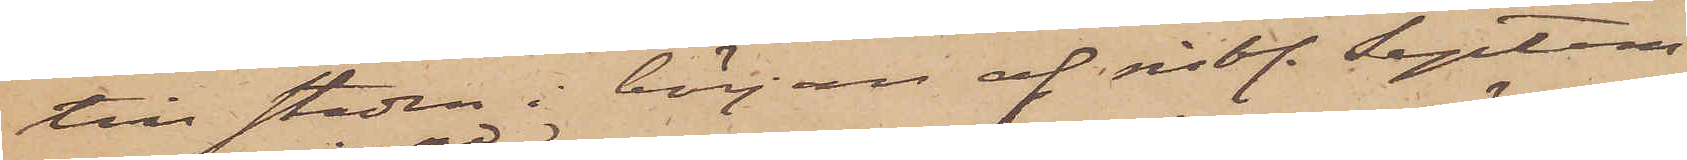till staden i början af sistl. Septem¬
